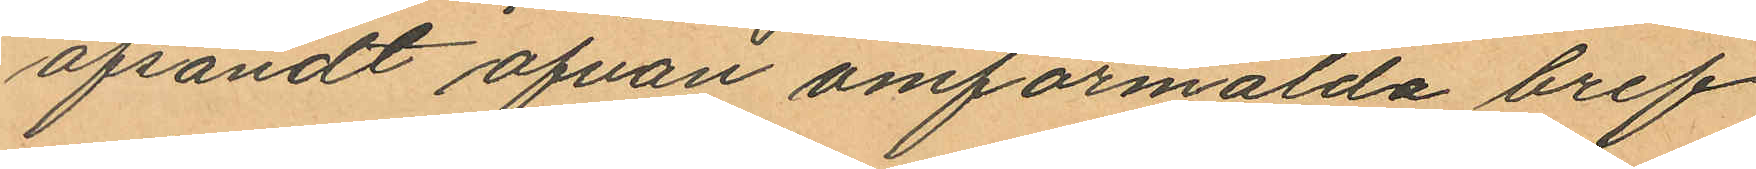afsändt ofvan omförmälda bref
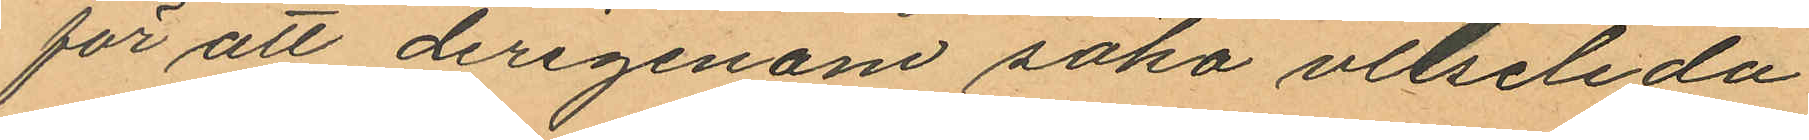för att derigenom söka vilseleda
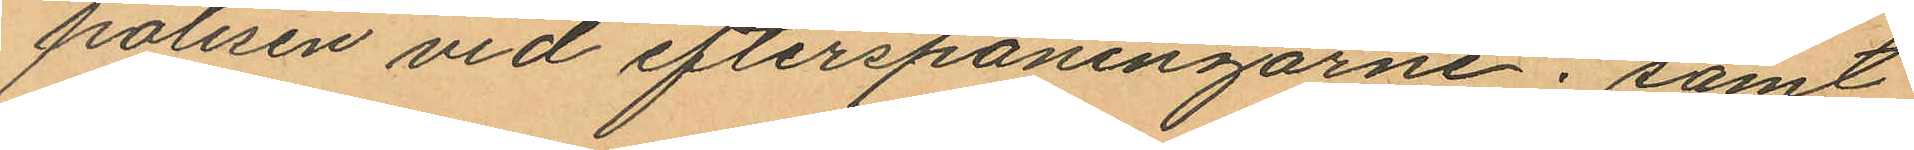polisen vid efterspaningarne; samt
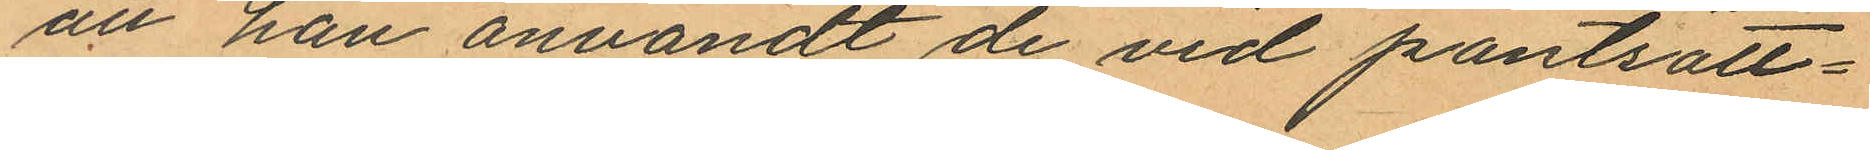att han anvandt de vid pantsätt¬
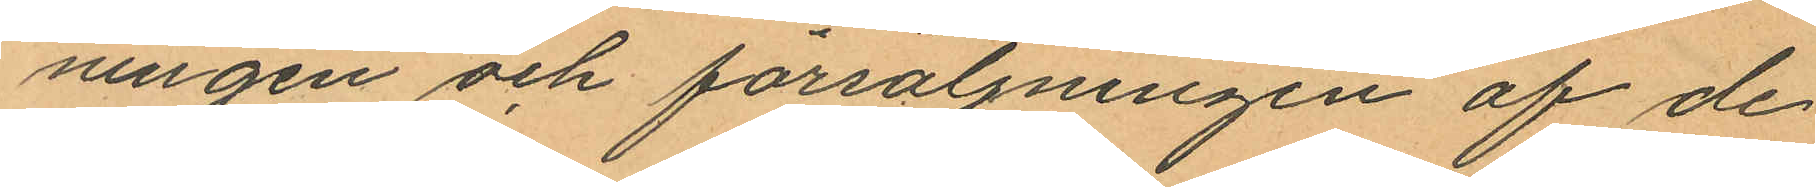ningen och försäljningen af de
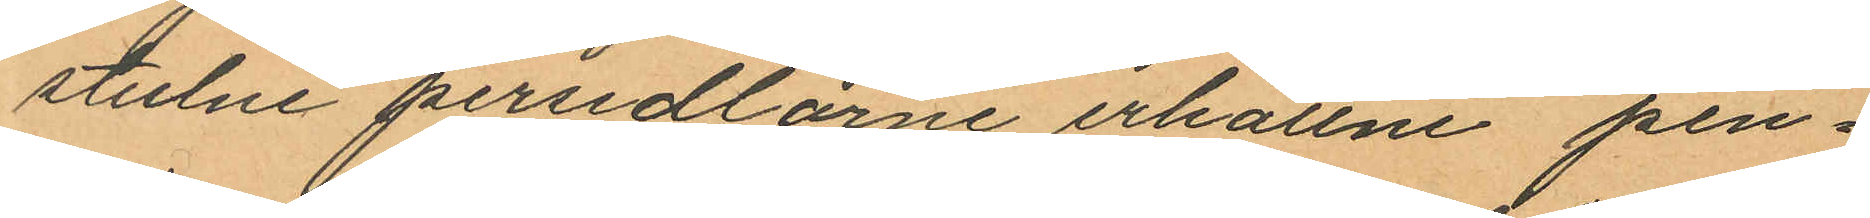stulne persedlarne erhållne pen¬
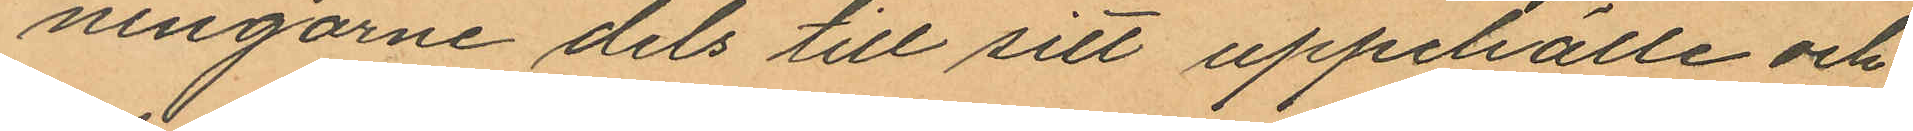ningarne dels till sitt uppehälle och
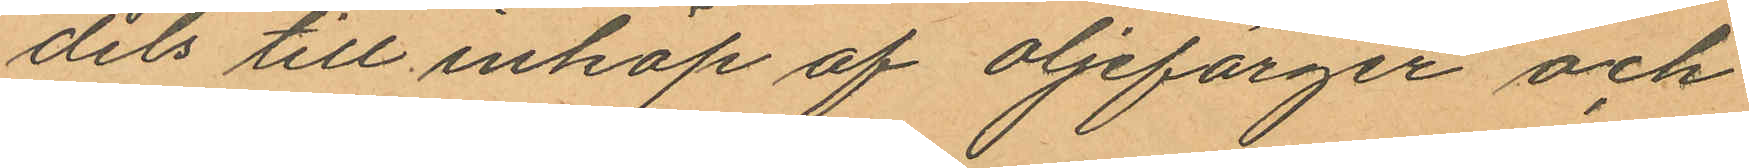dels till inköp af oljefärger och
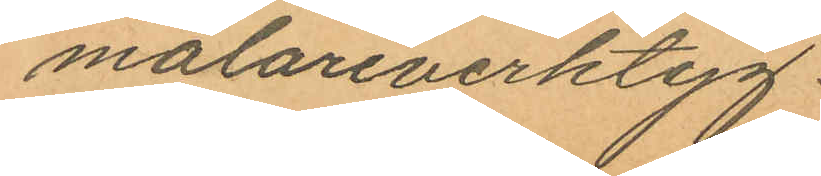målareverktyg.
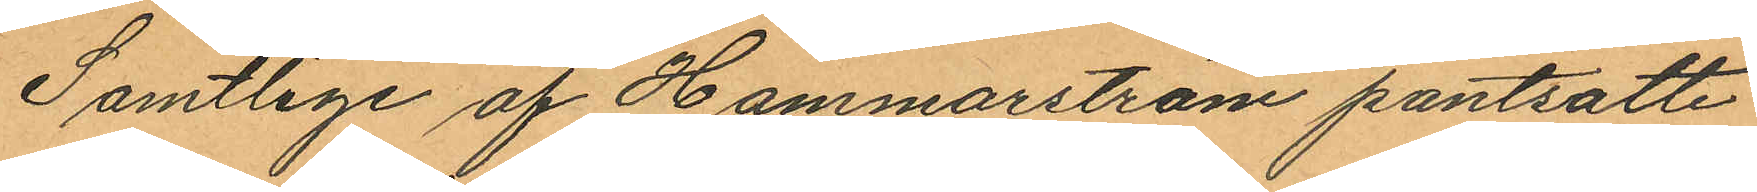Samtlige af Hammarström pantsatte
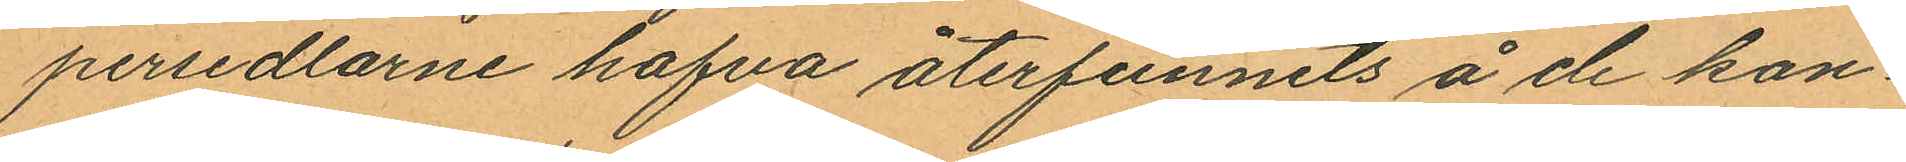persedlarne hafva återfunnits å de kon¬
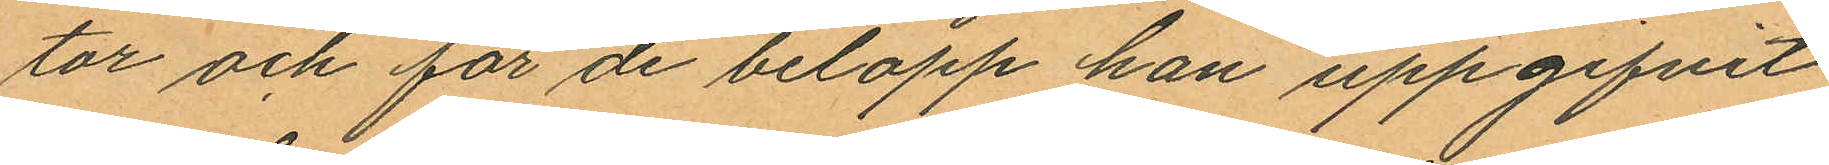tor och för de belopp han uppgifvit
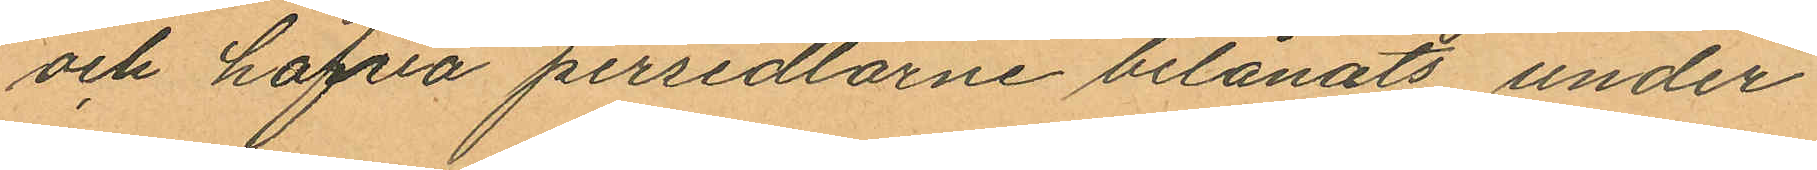och hafva persedlarne belånats under
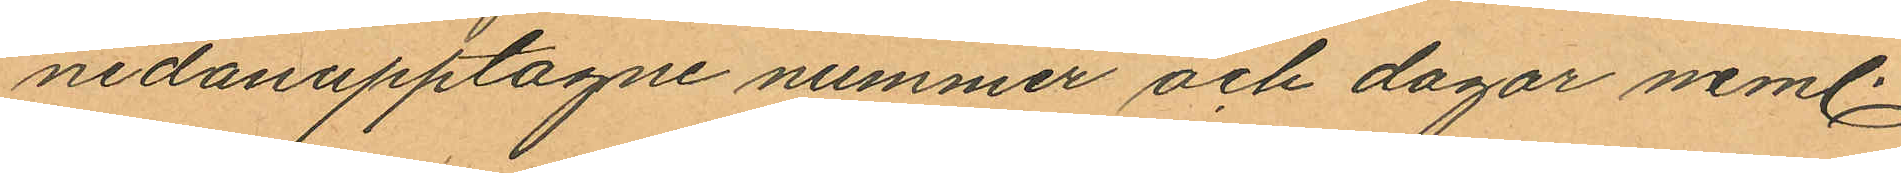nedanupptagne nummer och dagar neml.
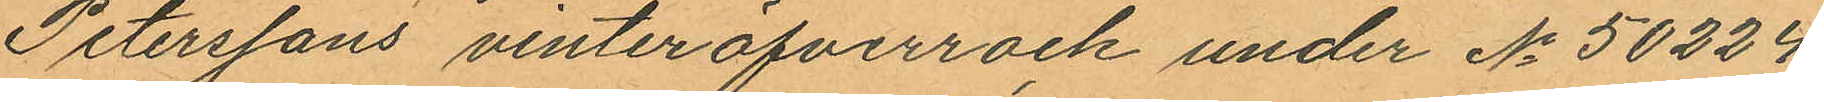Peterssons vinteröfverrock under No 50224
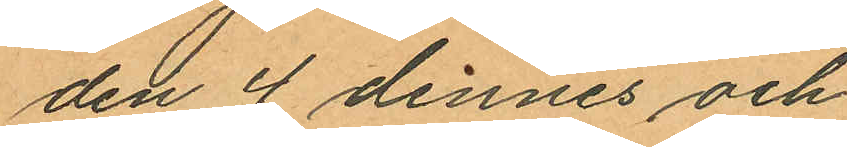den 4 dennes och
